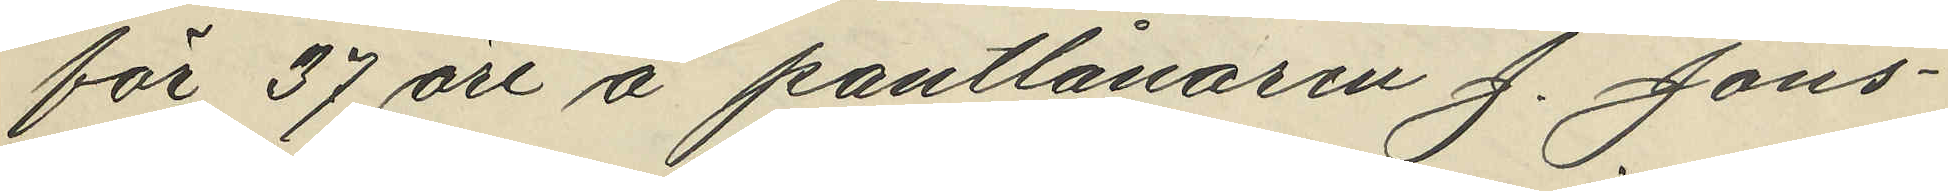för 37 öre å pantlånaren J. Jöns¬
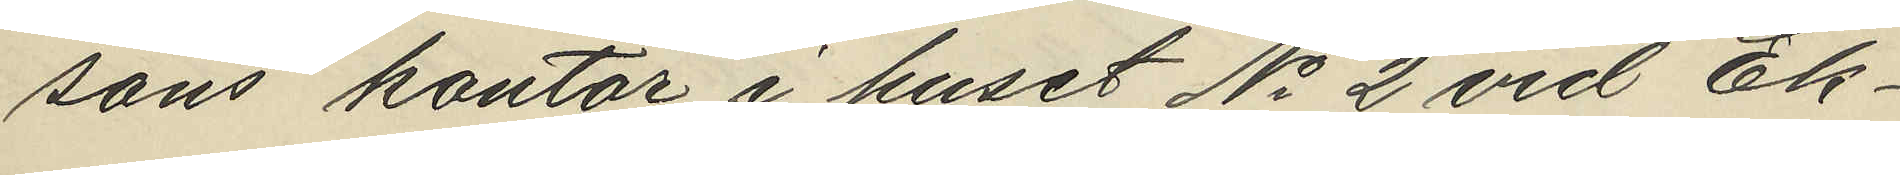sons kontor i huset No 2 vid Ek¬
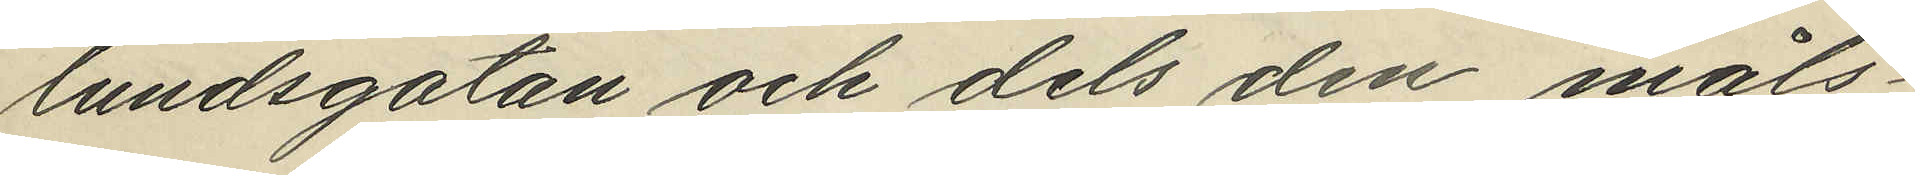lundsgatan och dels den måls¬
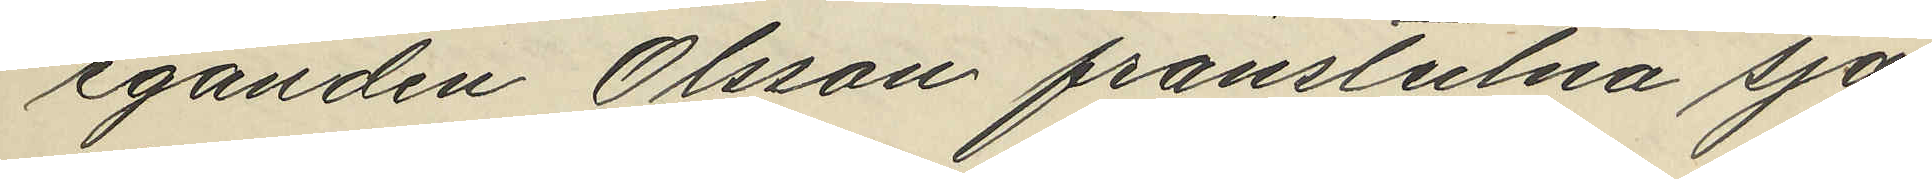eganden Olsson frånstulna sja¬
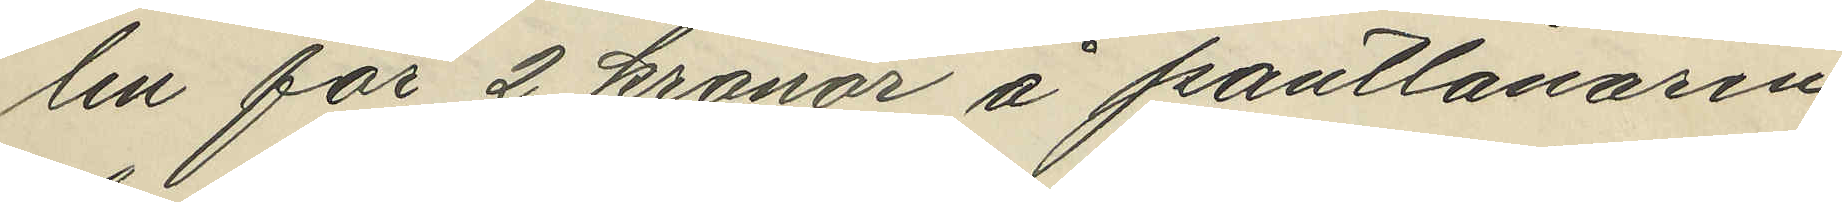len för 2 kronor å pantlånaren
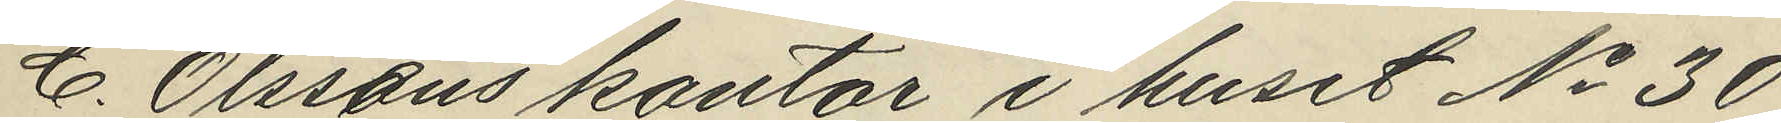C. Olsséns kontor i huset No 30
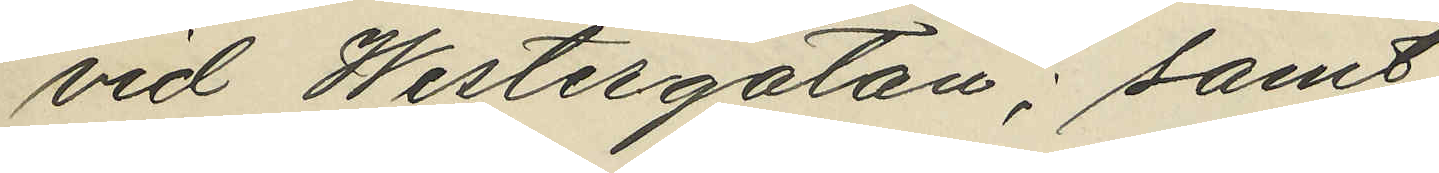vid Westergatan; samt
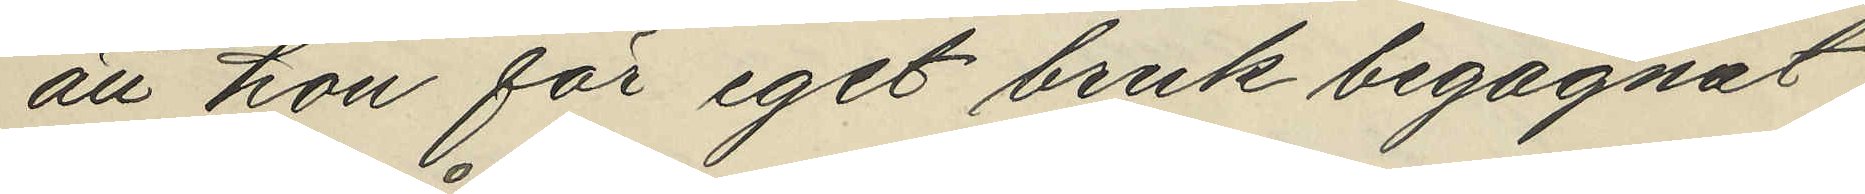att hon för eget bruk begagnat
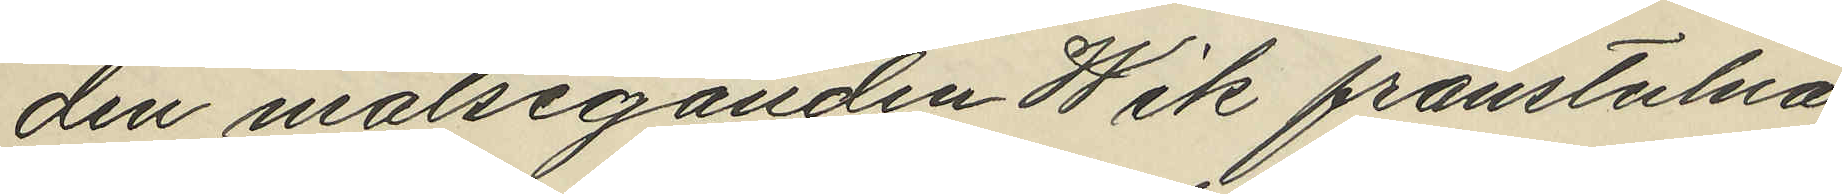den målseganden Wik frånstulna
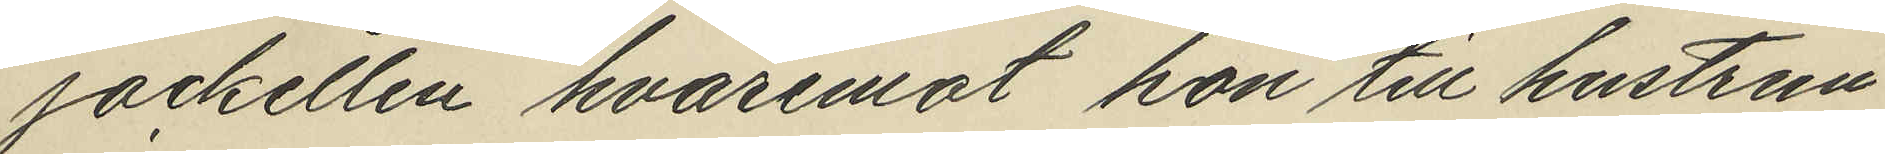jacketten hvaremot hon till hustrun
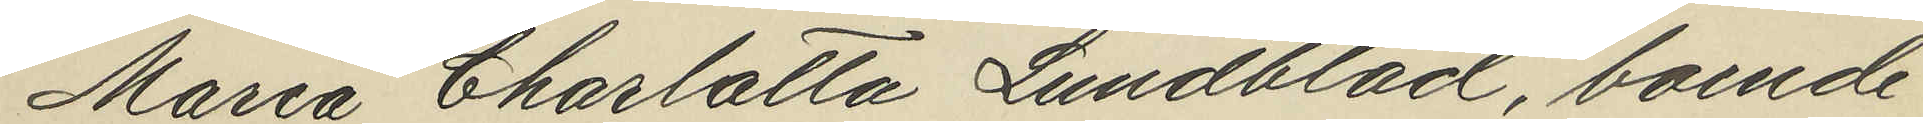Maria Charlotta Lundblad, boende
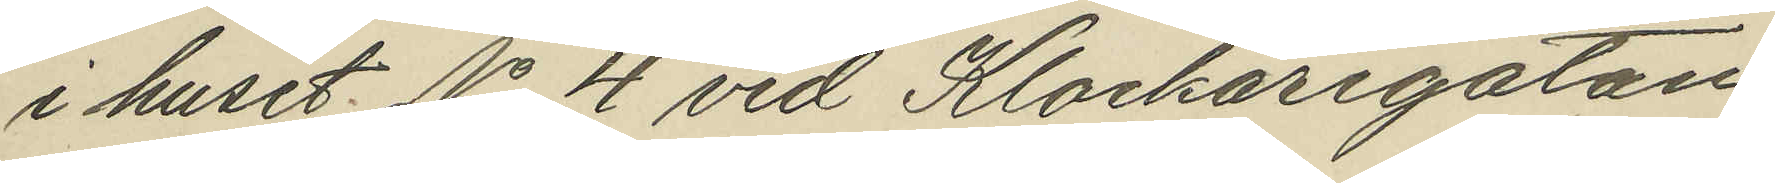i huset No 4 vid Klockaregatan
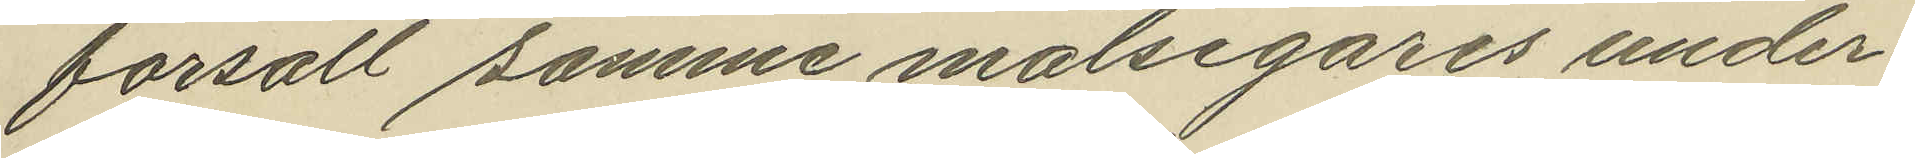försålt samme målsegares under¬
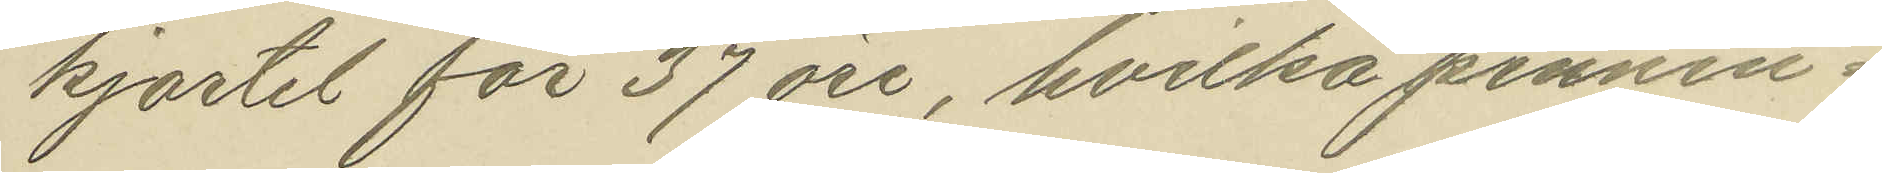kjortel för 37 öre, hvilka pennin¬
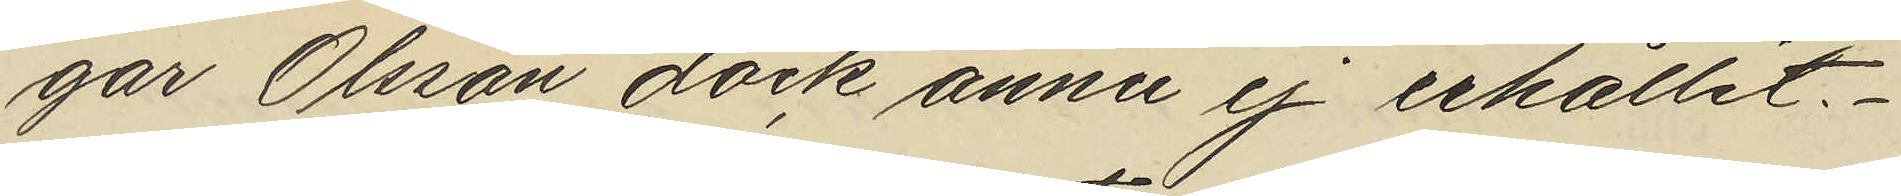går Olsson dock ännu ej erhållit
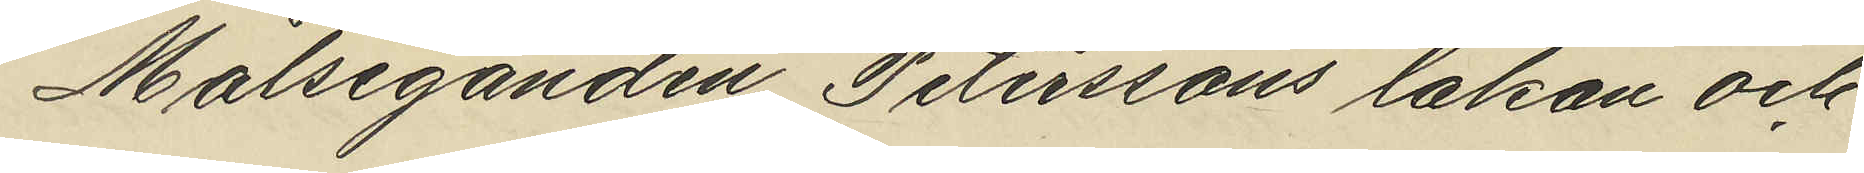Målseganden Peterssons lakan och
